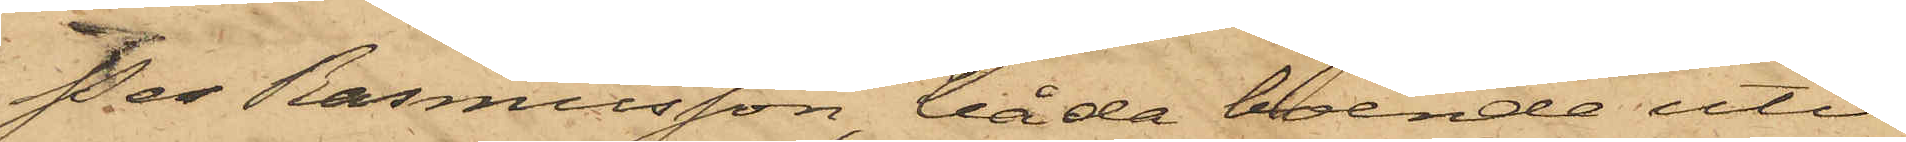Per Rasmusson, båda boende uti
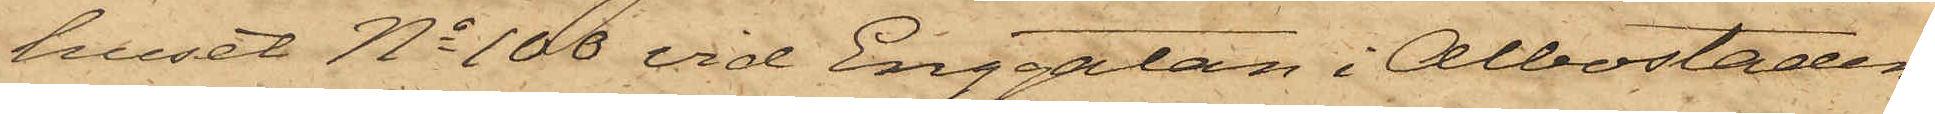huset No 100 vid Enggatan i Albostaden,
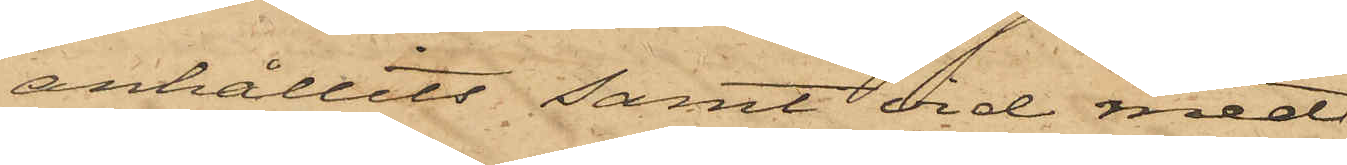anhållits samt vid med
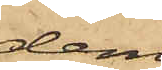dem
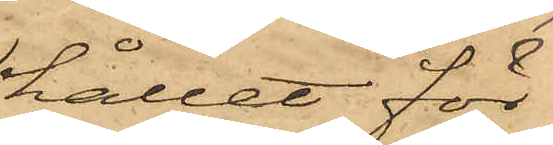hållet för¬
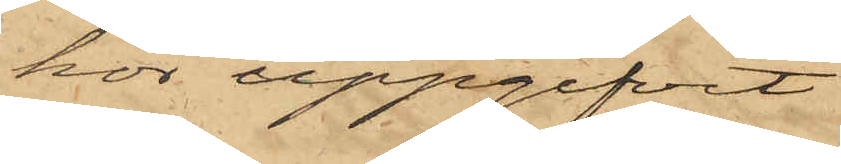hör uppgifvit
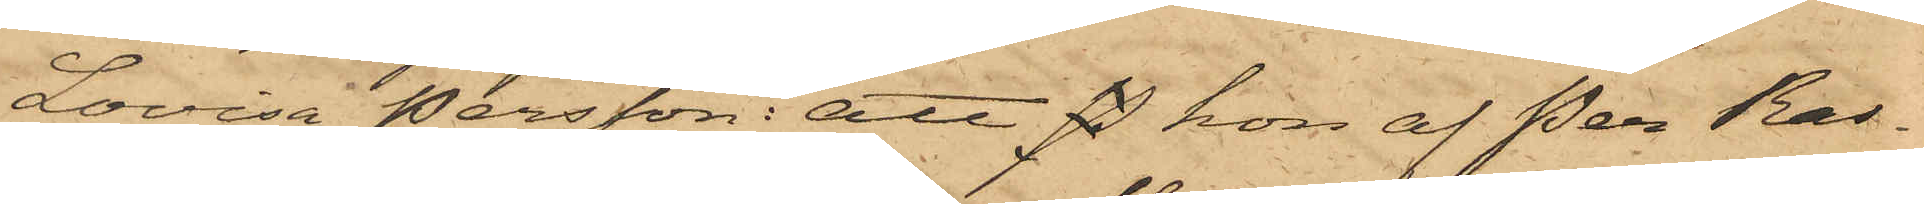Lovisa Persson: att P hon af Per Ras¬
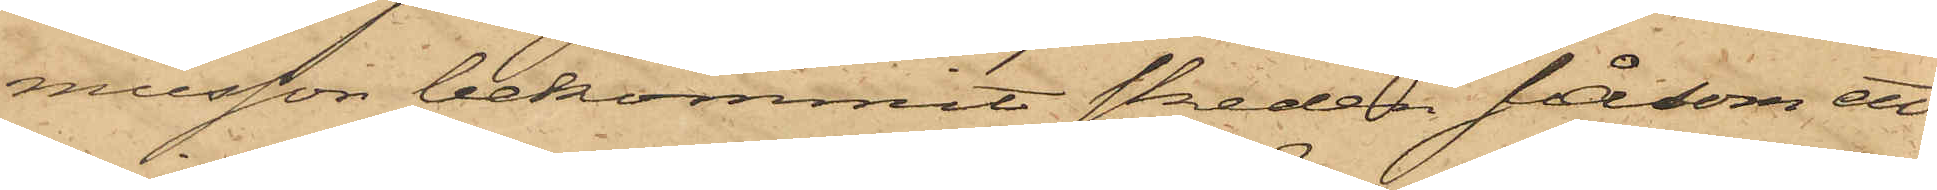musson bekommit skeden såsom ett
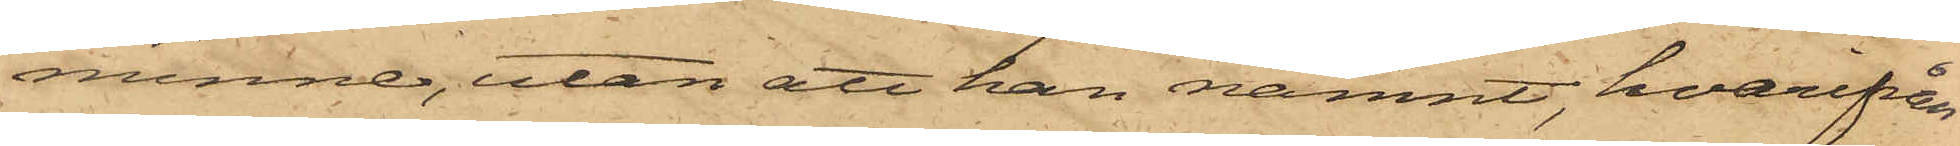minne, utan att han nämnt, hvarifrån
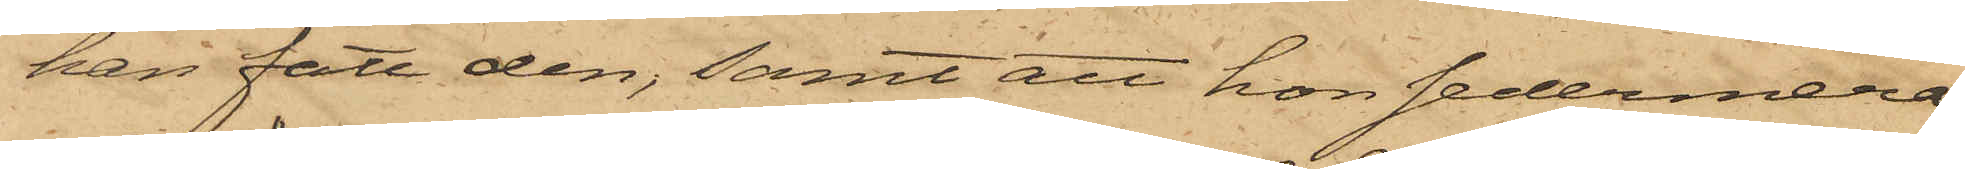han fått den; samt att hon sedermera
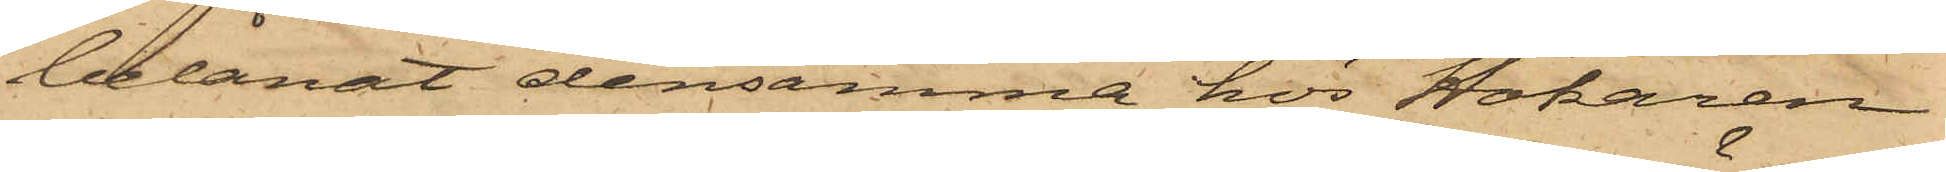belånat densamma hos Hökaren
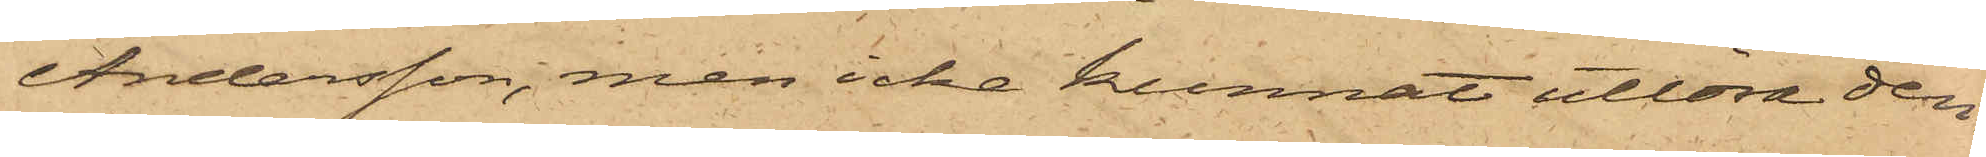Andersson, men icke kunnat utlösa den.
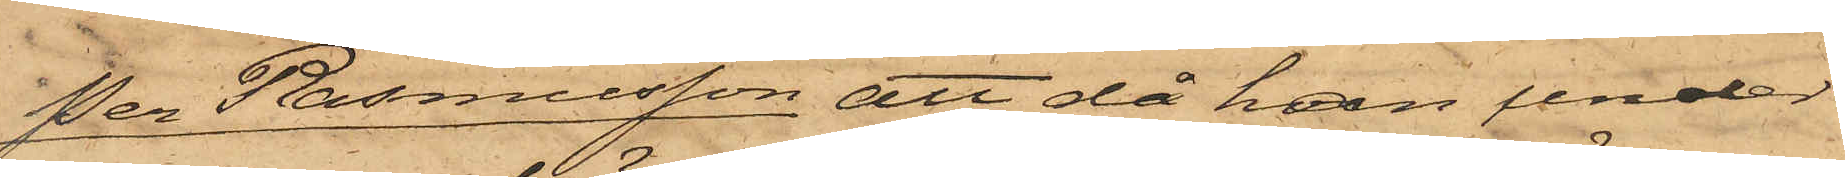Per Rasmusson, att då han under
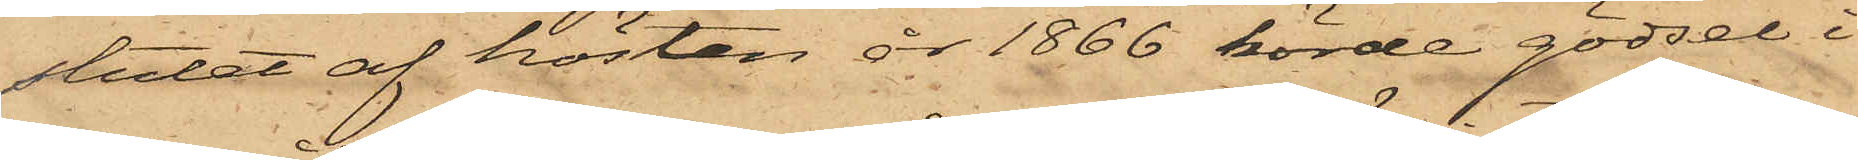slutet af hösten år 1866 körde gödsel i
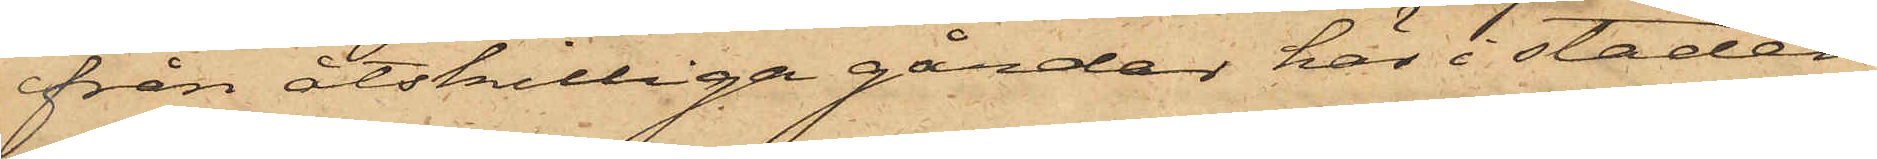från åtskilliga gårdar här i staden
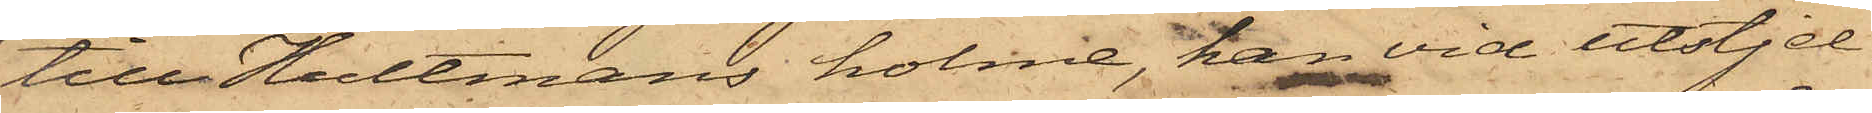till Hultmans holme, han vid utstjel¬
